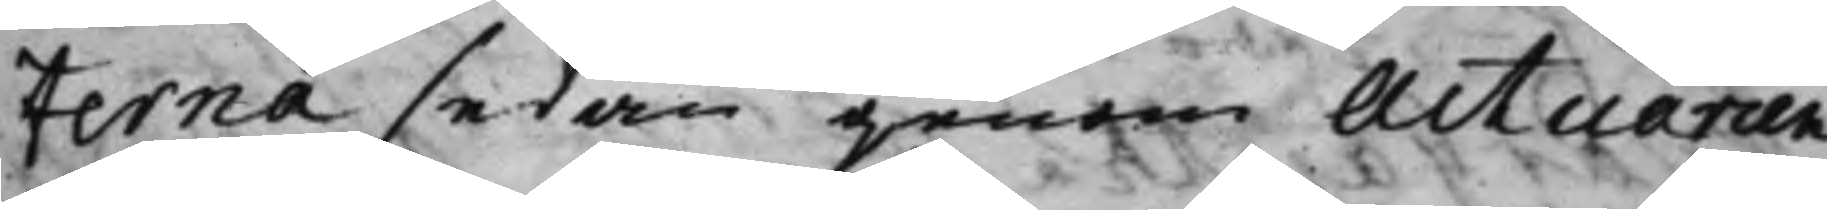terna sedan genom Actuarien
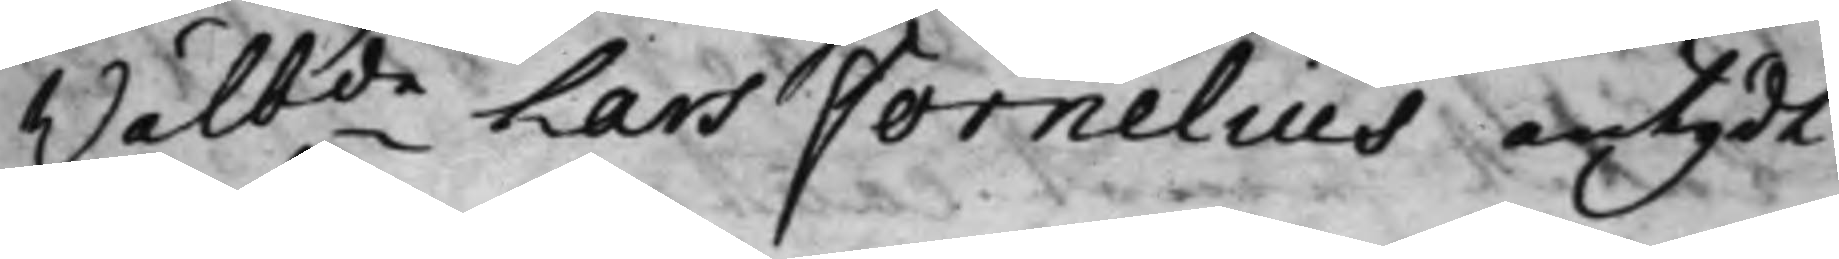Wälbde Lars Fornelius antydt
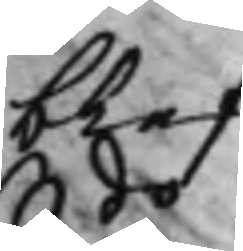blef.
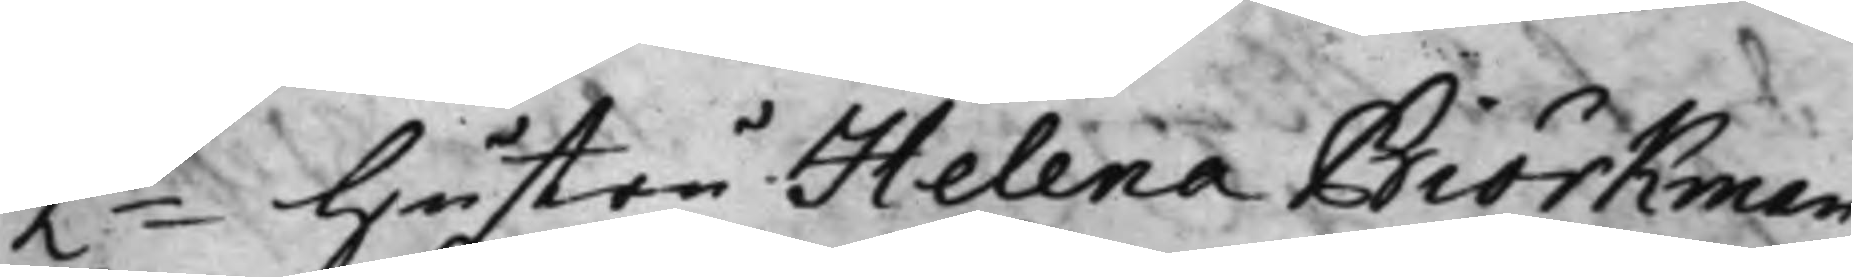2do hustru Helena Biörkman
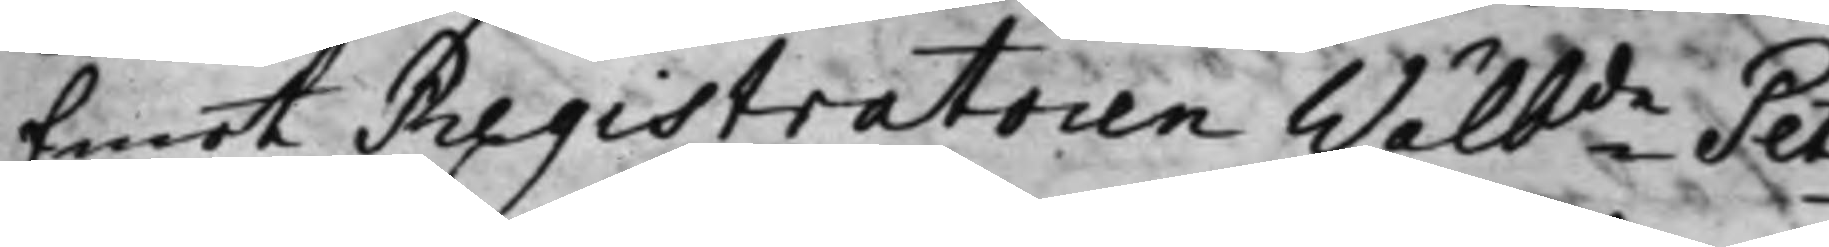Emot Registratoren Wälbde Pet¬
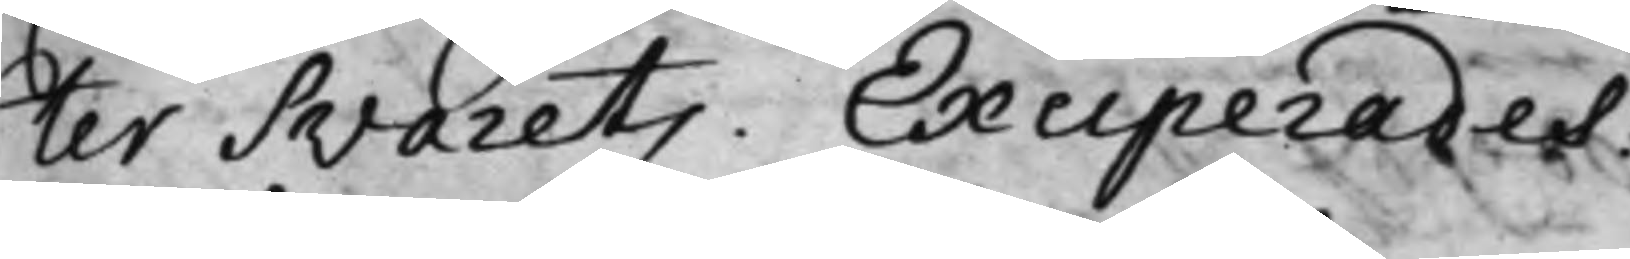ter Svaretz. Exciperades.
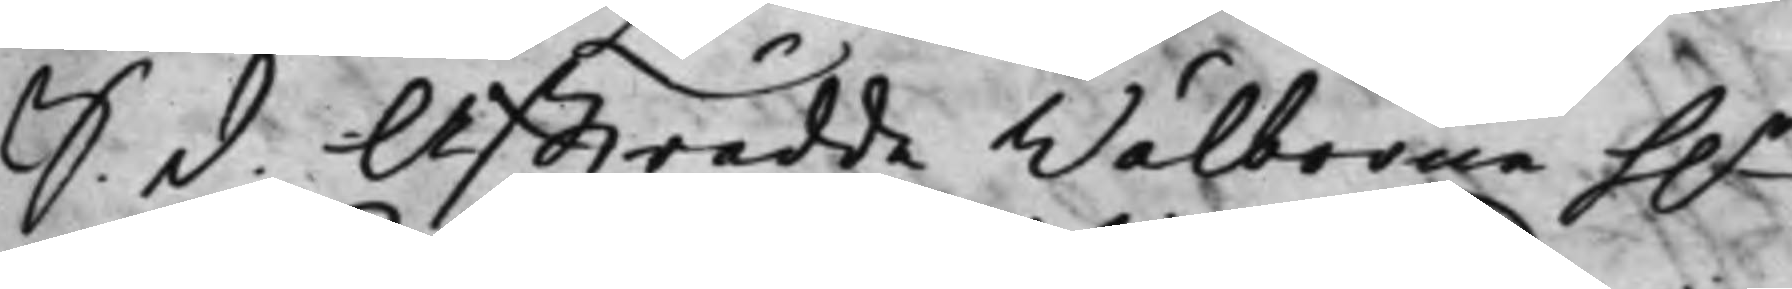S. d. Affträdde Wälborne h.r
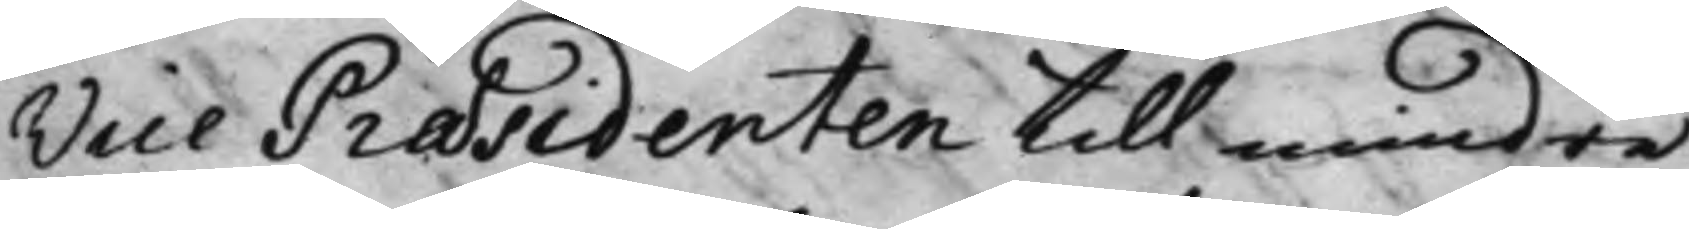Vice Præsidenten till mindre
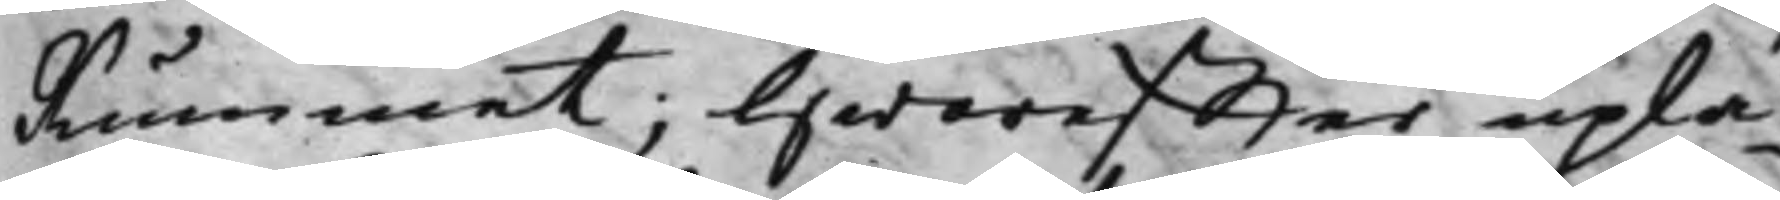Rummet; Hwareffter uplä¬
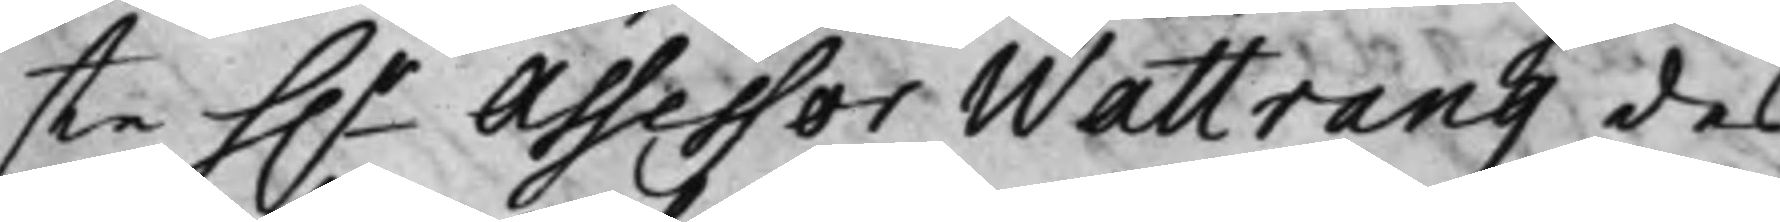ste h.r Assessor Wattrang des
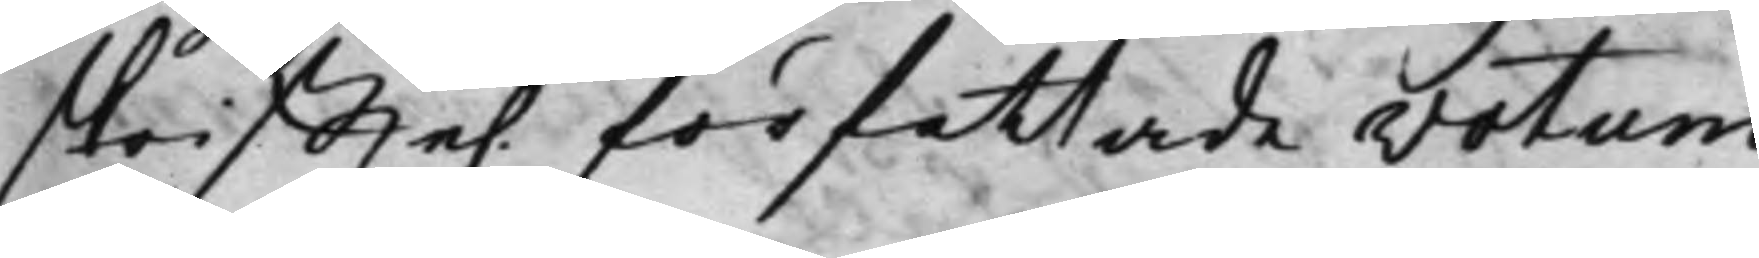skriffte. författade votum
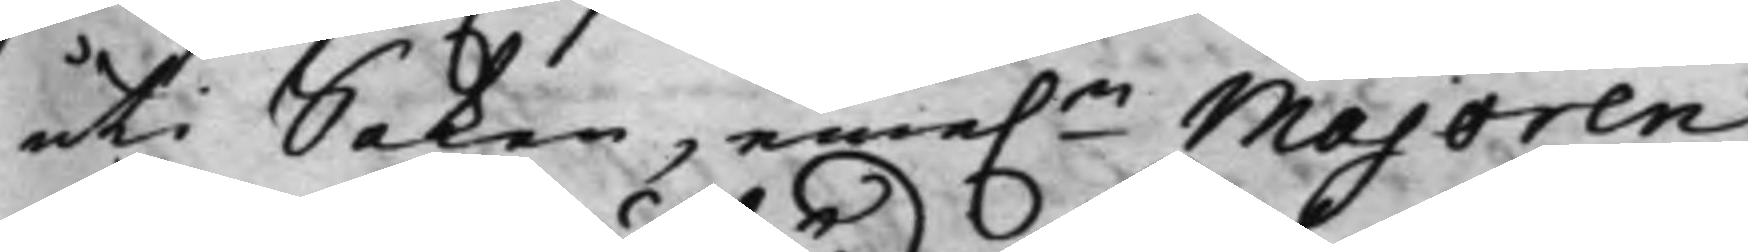uti Saken, eme.n Majoren
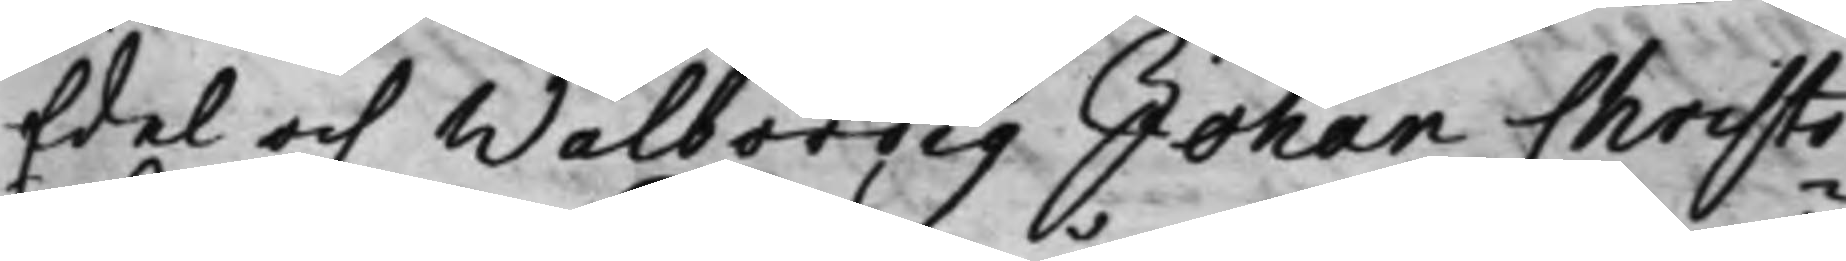Edel och Wälbördig Johan Christo¬
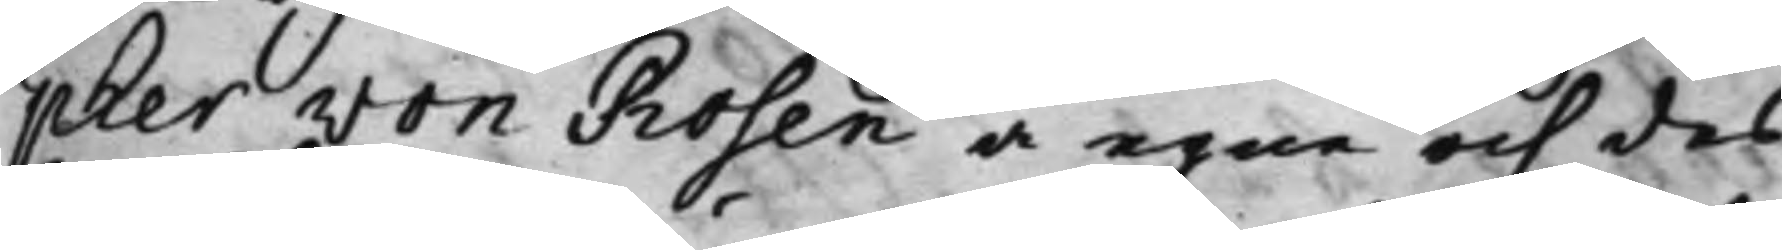pher von Rosen å egne och des
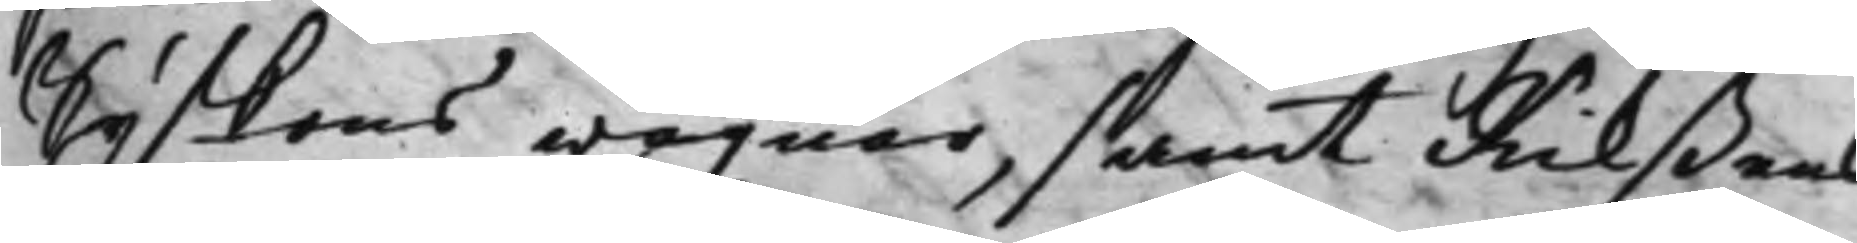syskons wägnar, samt Rikßens
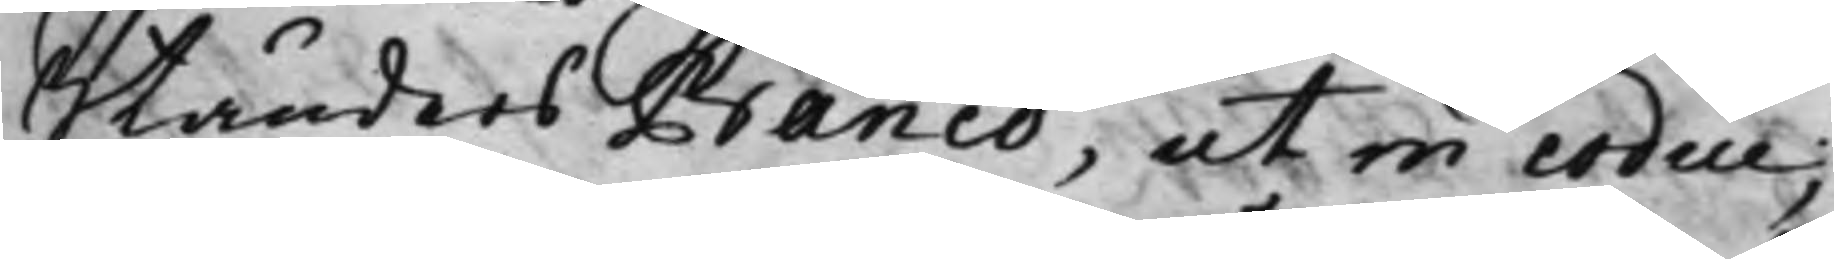Ständers Banco, ut in codice;
